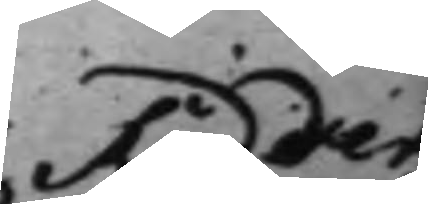Ridder¬
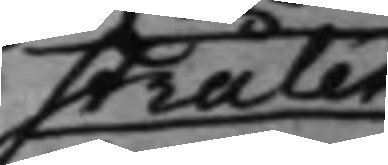stråles
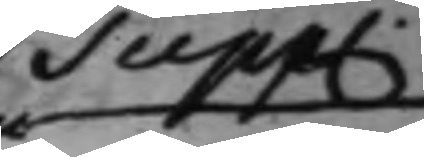Supp.
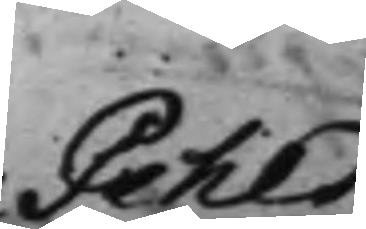Pehls
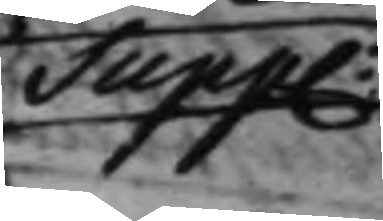Supp.
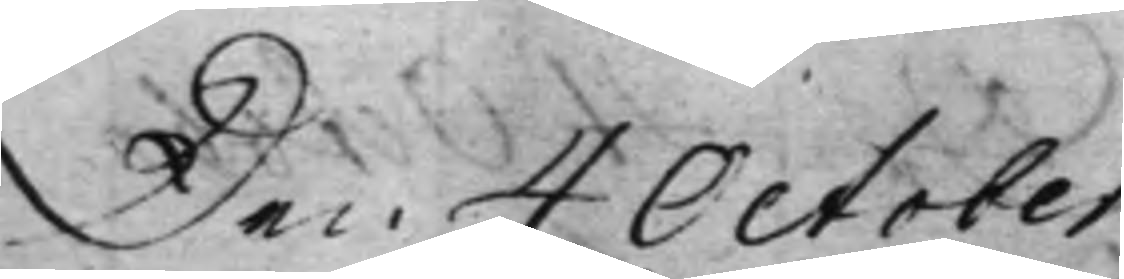Den 4 October
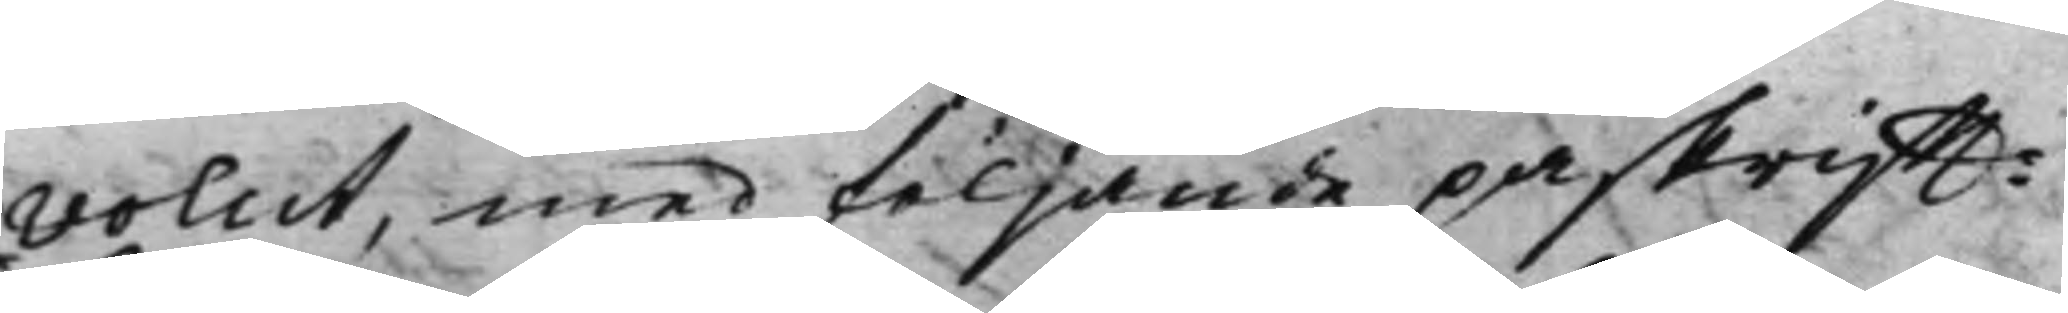volut, med följande påskrifft:
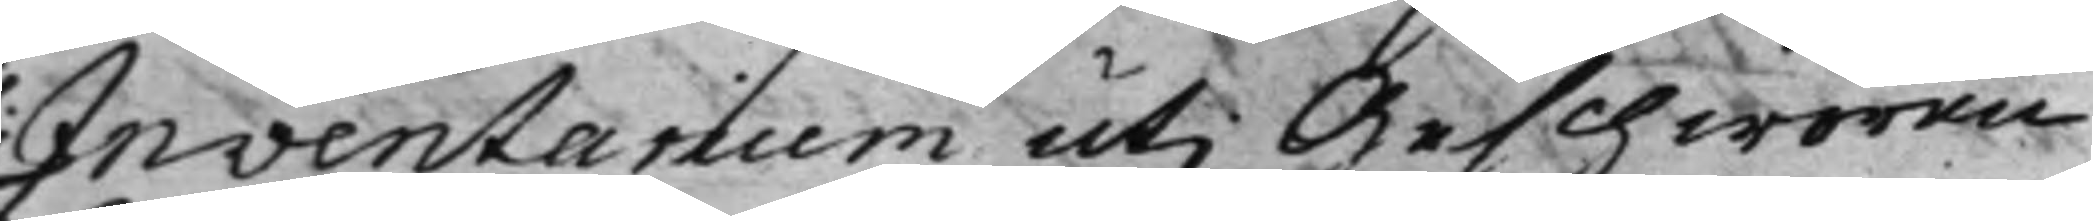Inventarium uti Geschworen
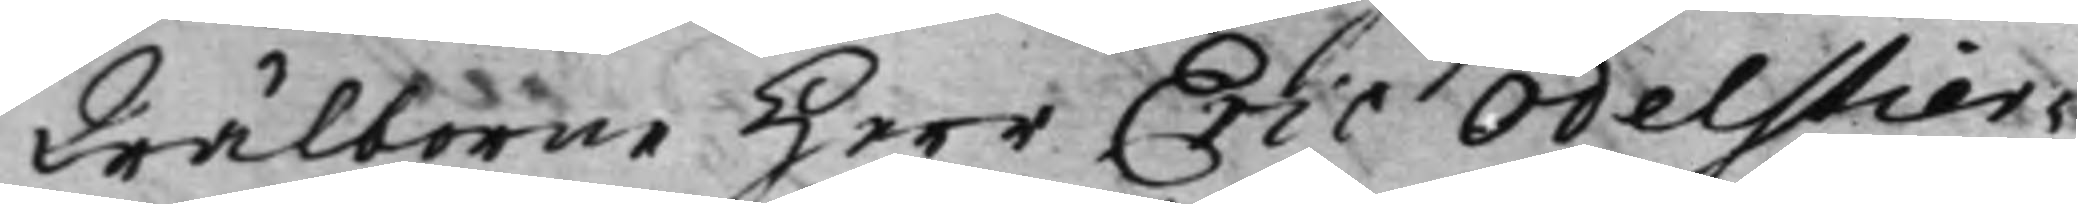Wälborne Herr Eric Odelstier¬
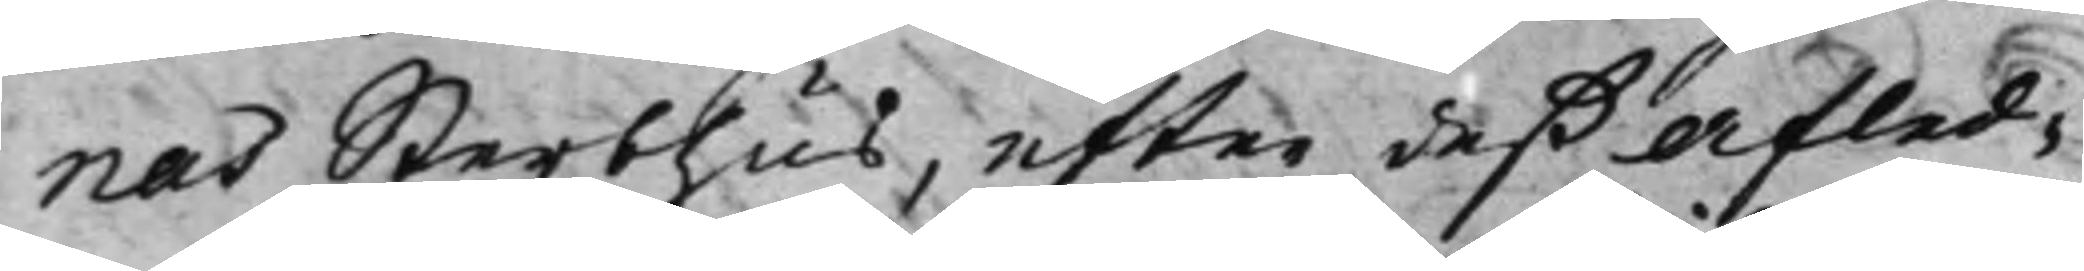nas Sterbhus, efter deß afled¬
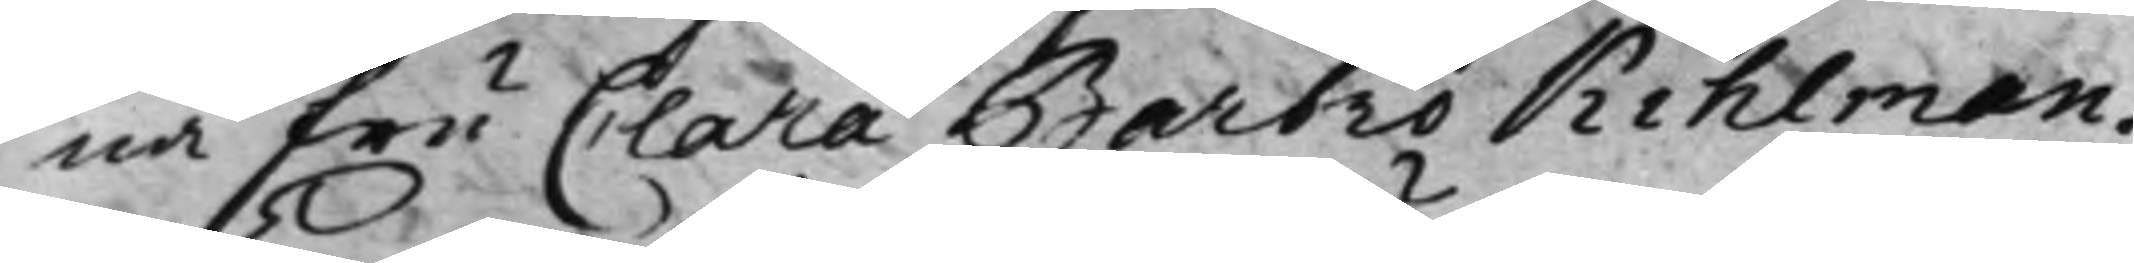na Fru Clara Barbro Kihlman.
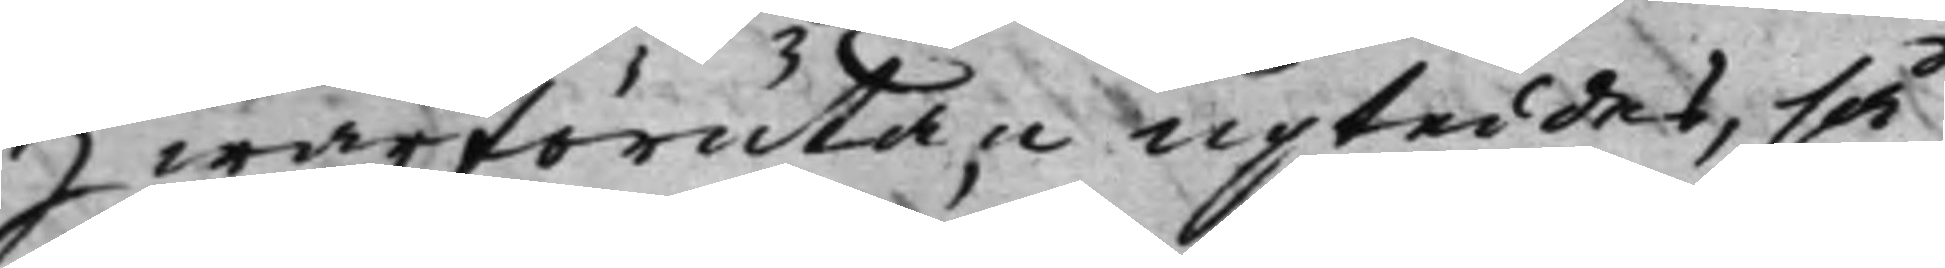Hwarförutan upteddes, så
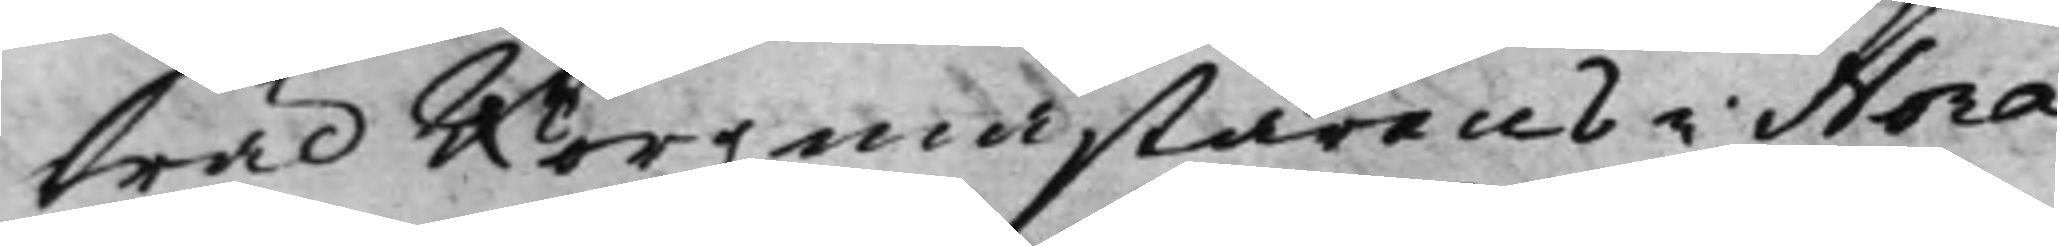wäl Borgmästarens i Nora
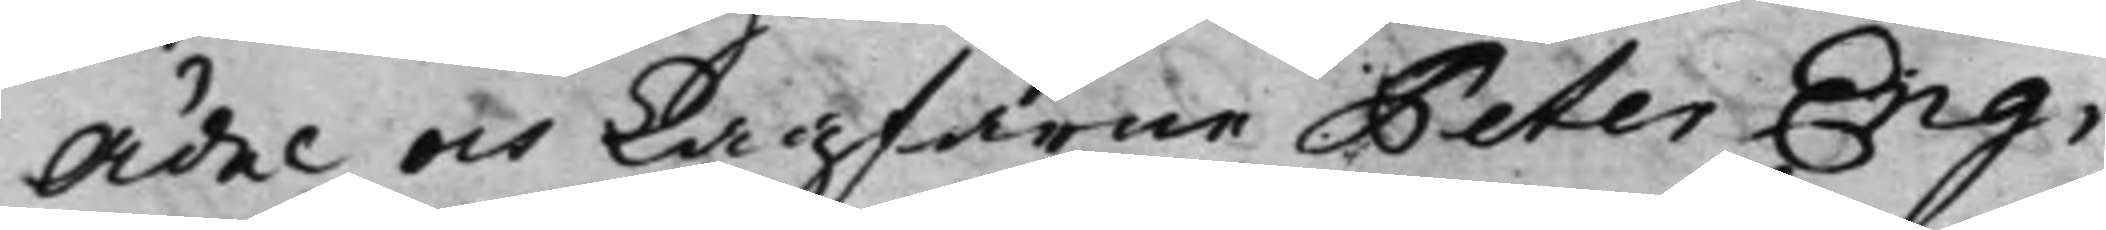Ädel och Lagfarne Peter Eng¬
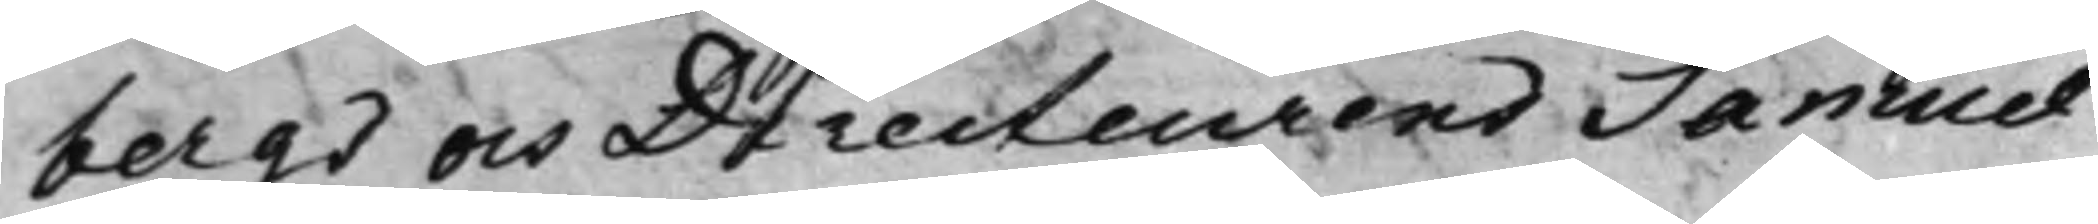bergs och Directeurens Samuel
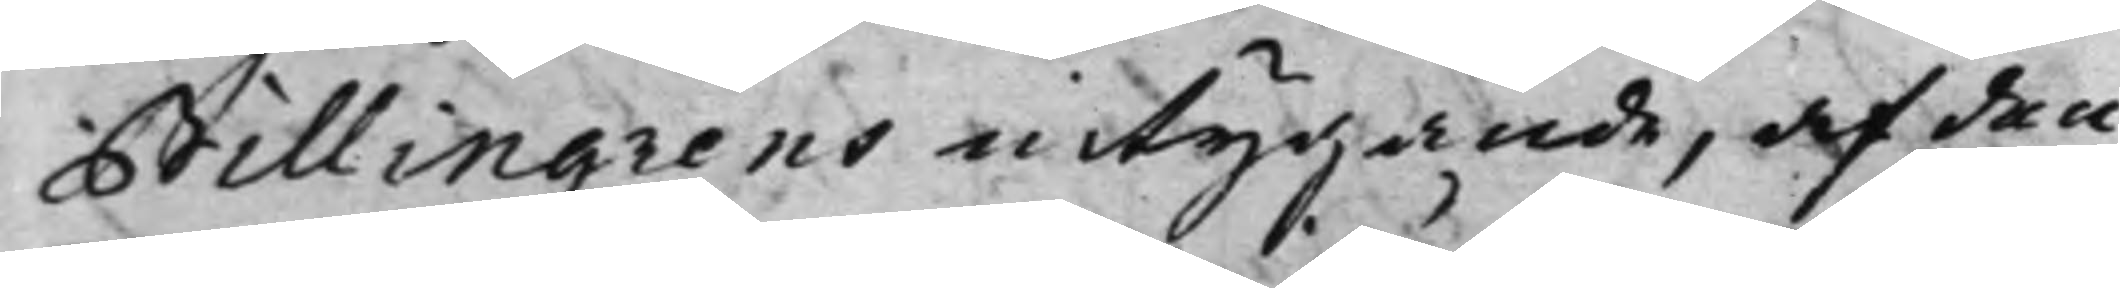Billingrens intygande, af den
